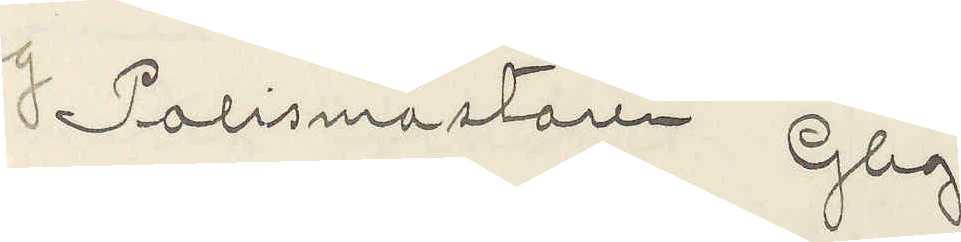Polismästaren Gbg.
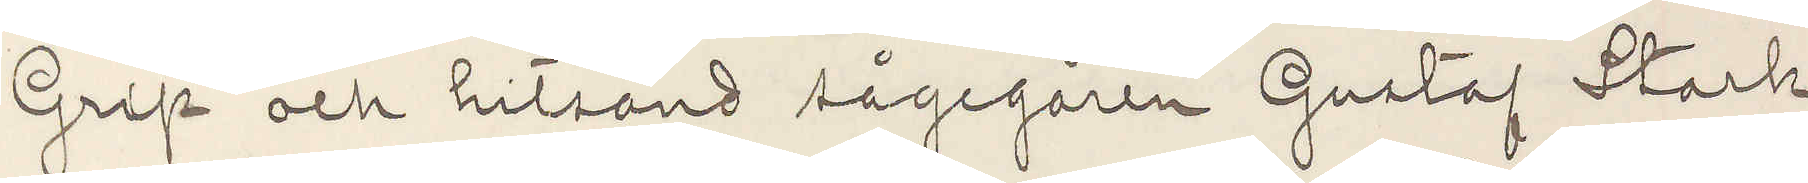Grip och hitsänd sågegaren Gustaf Stark
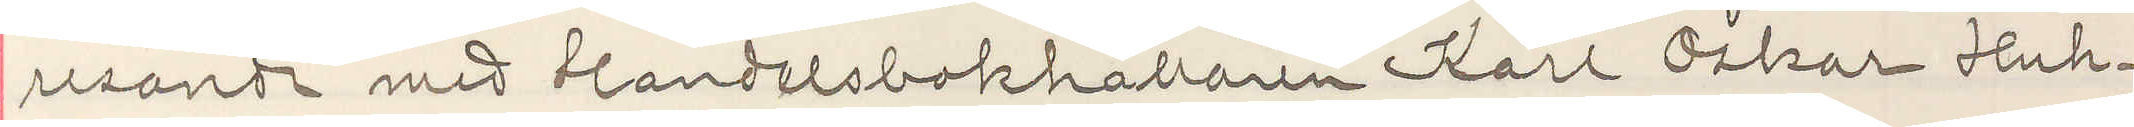resande med Handelsbokhållaren Karl Oskar Huh¬
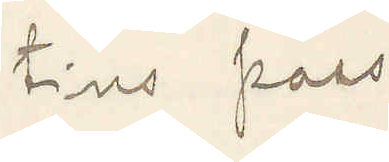tins pass
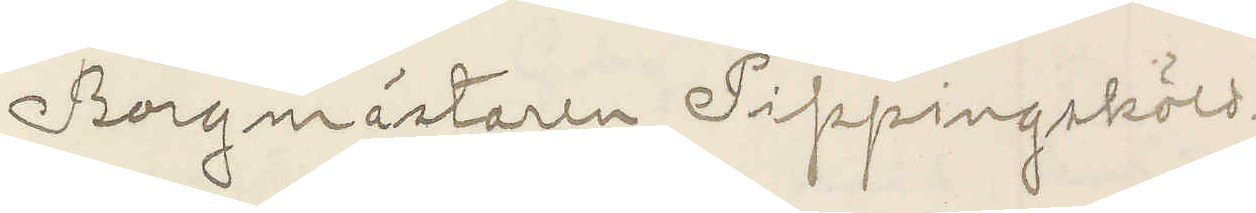Borgmästaren Pippingskjöld.
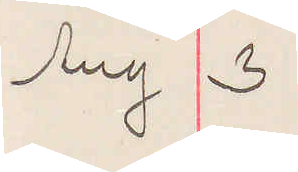Aug 3
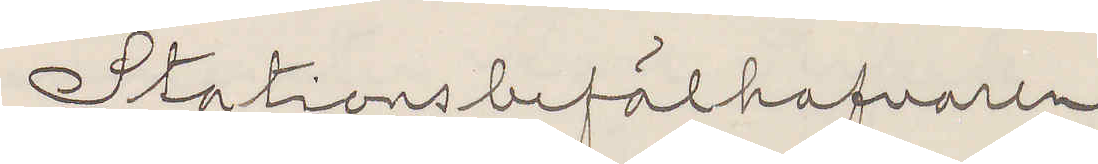Stationsbefälhafvaren
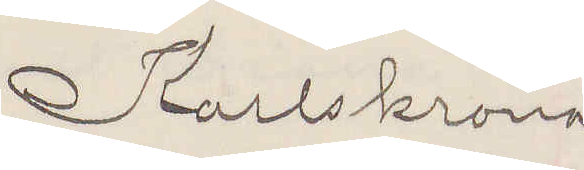Karlskrona
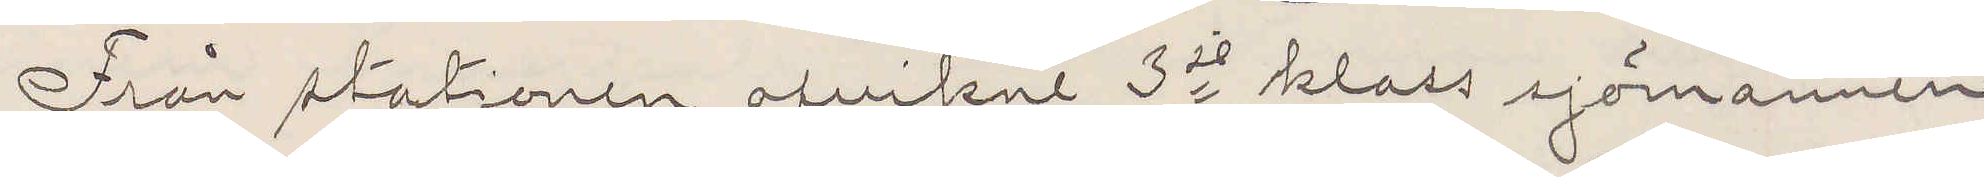Från stationen afvikne 3je klass sjömannen
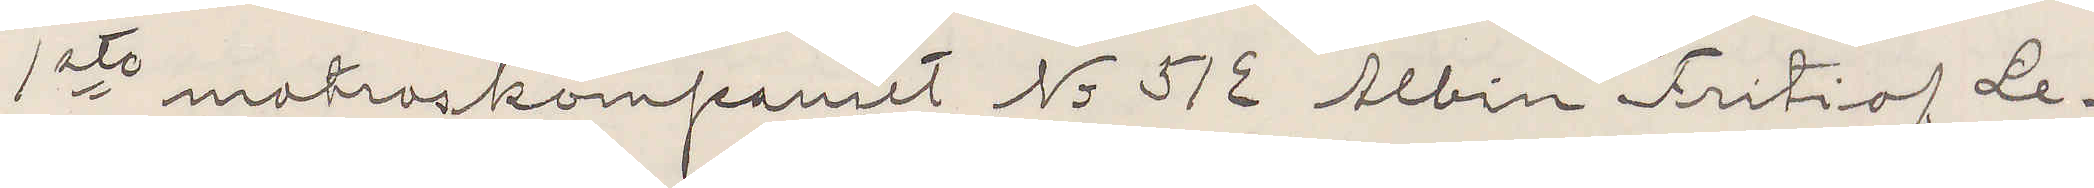1ste matroskompaniet No 512 Albin Fritiof Le¬
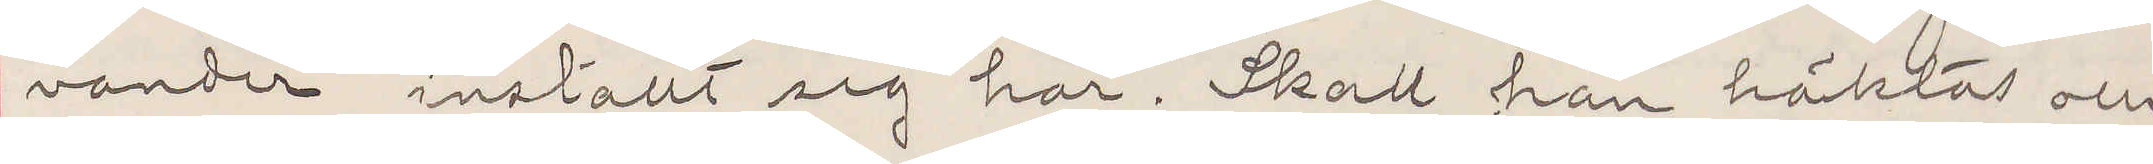vander inställt sig här. Skall han häktas och
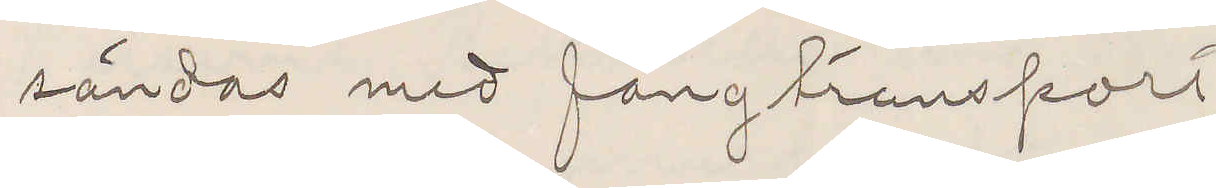sändas med fångtransport
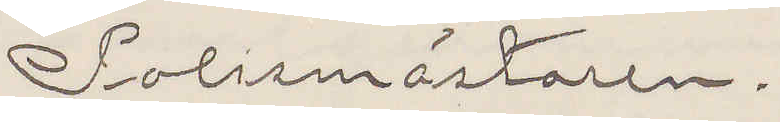Polismästaren.
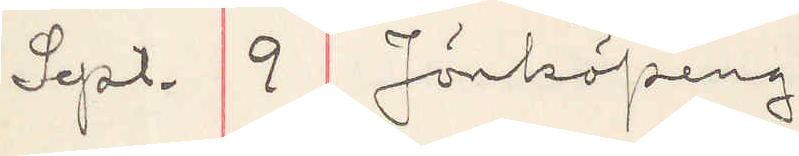Sept. 2 Jönköping
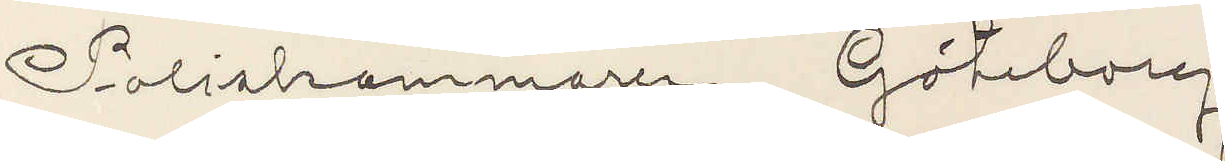Poliskammaren, Göteborg
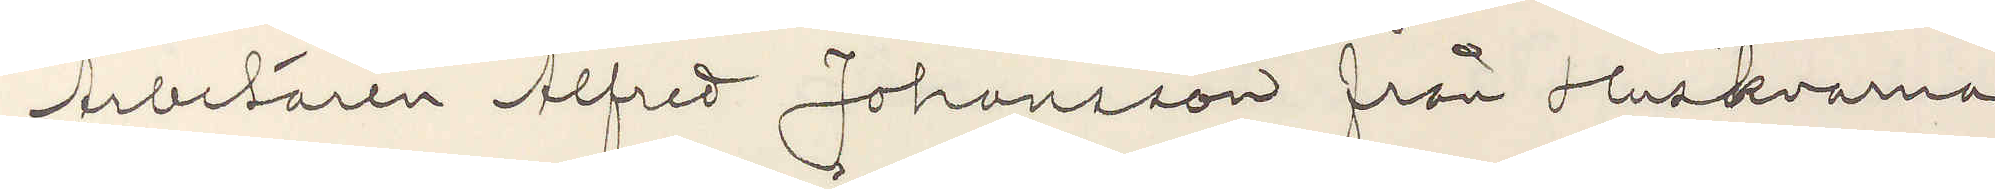Arbetaren Alfred Johansson från Huskvarna
